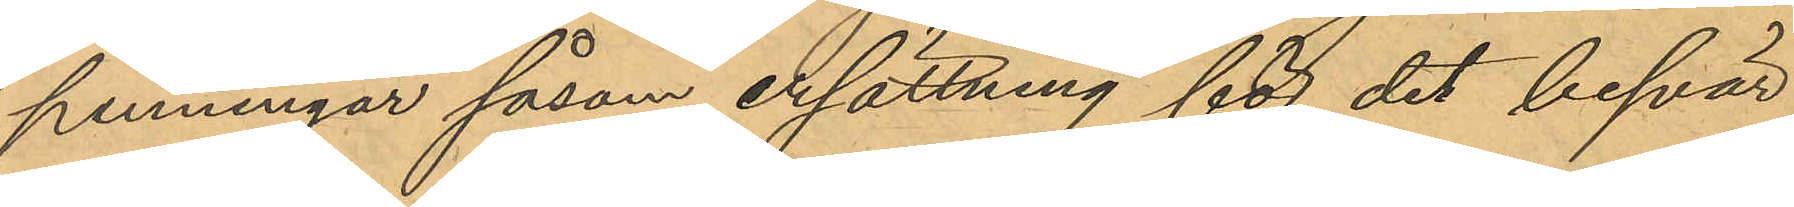penningar såsom ersättning för det besvär
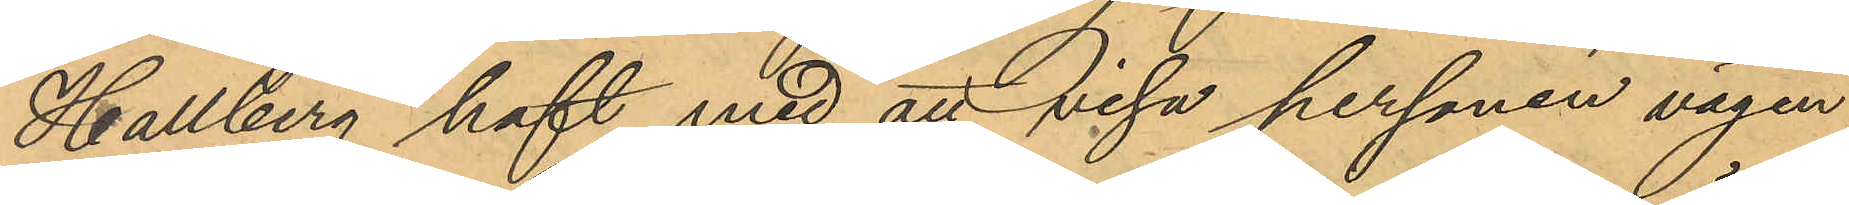Hallberg haft med att visa personen vägen
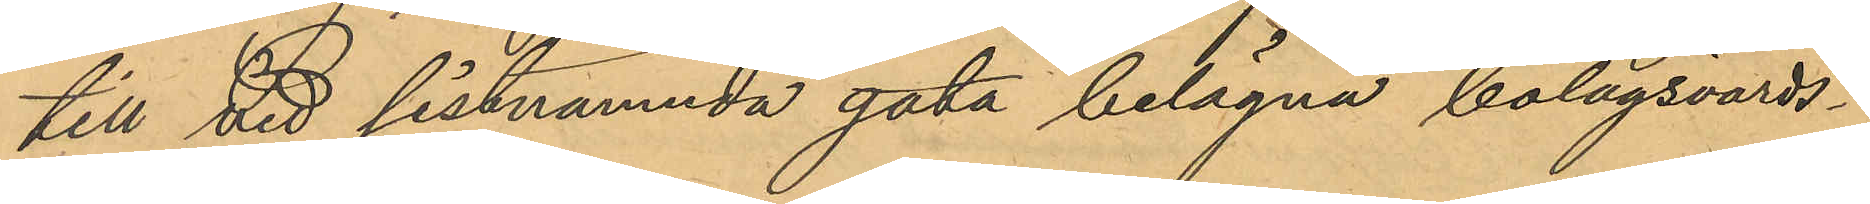till vid sistnämnda gata belägna bolagsvärds¬
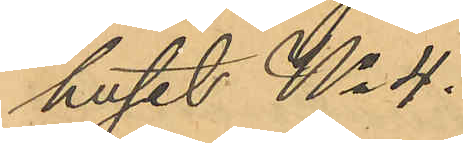huset No 4.
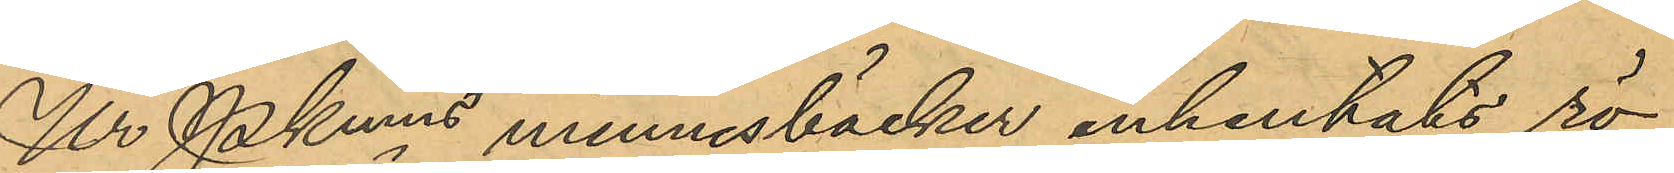Ur Pkmns minnesböcker inhemtats rö¬
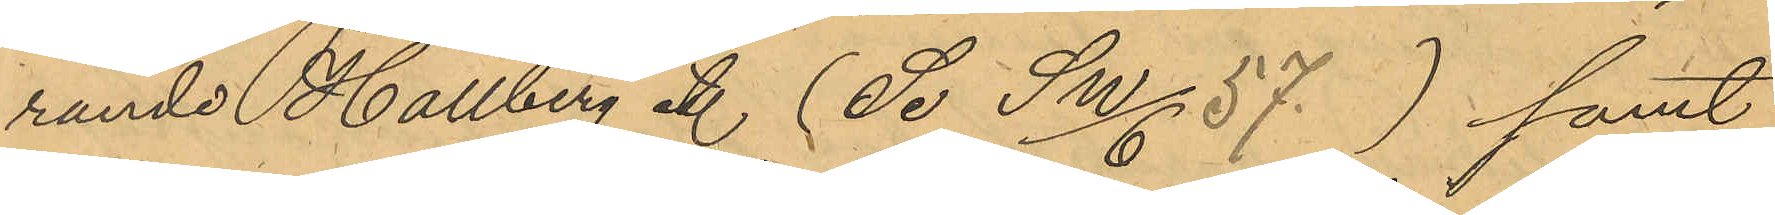rande Hallberg etc (Se SW/6. 57.) samt
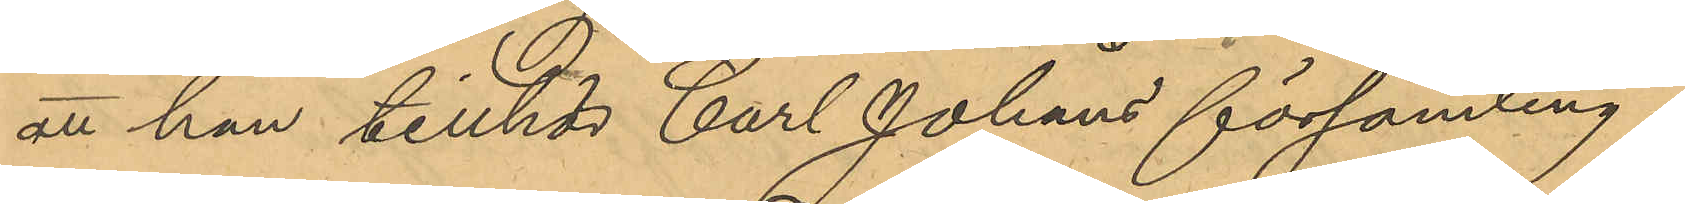att han tillhör Carl Johans församling.
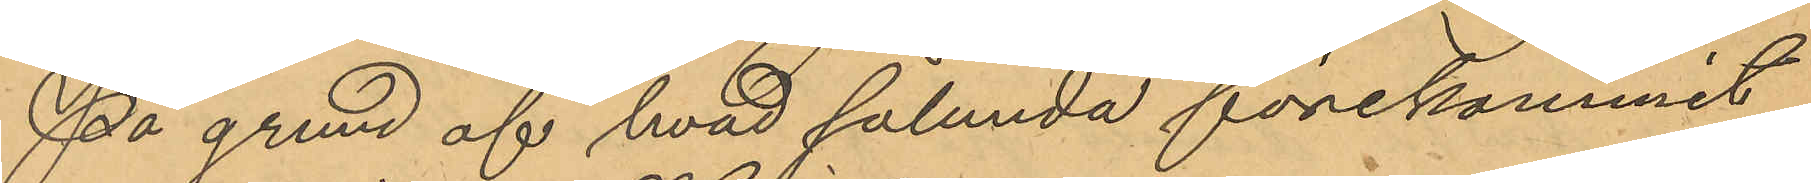På grund af hvad sålunda förekommit
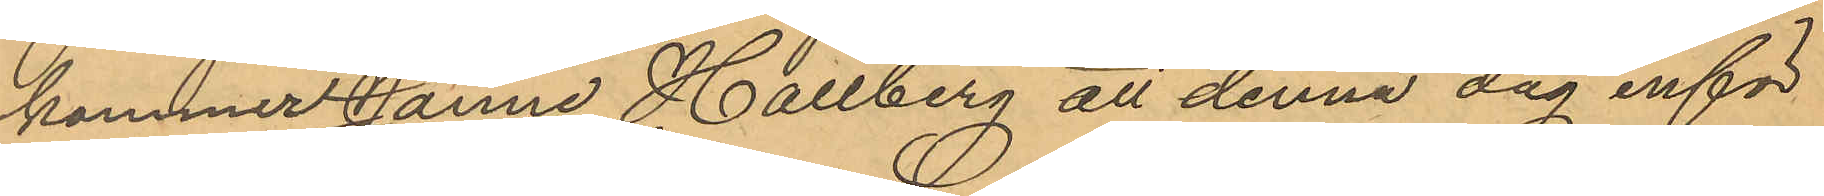kommer Janne Hallberg att denna dag inför
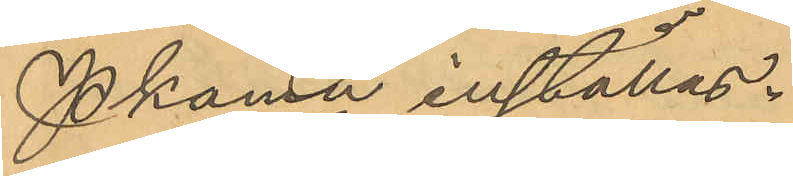Pkam inställas.
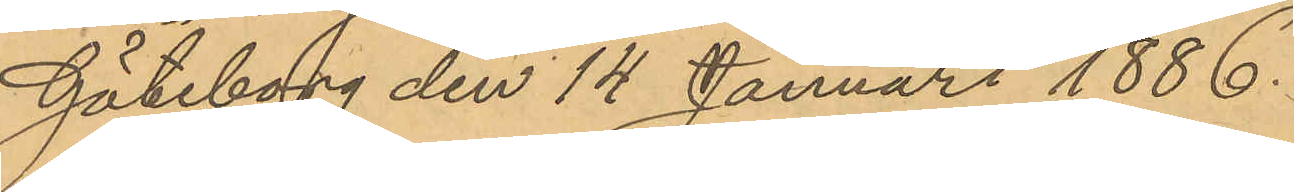Göteborg den 14 Januari 1886.
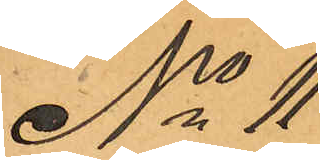No 11
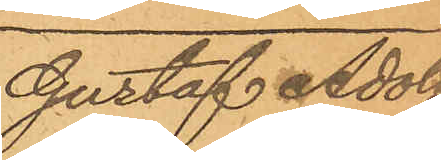Gustaf Adolf
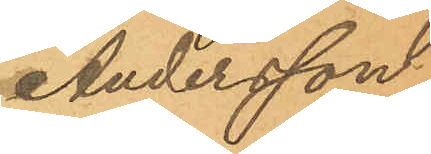Andersson
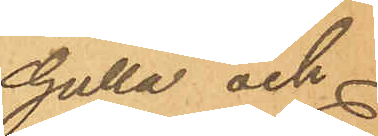Gulla och
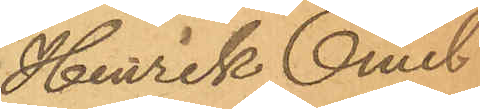Henrik Emil
